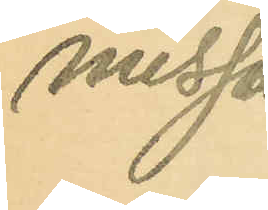nusson.
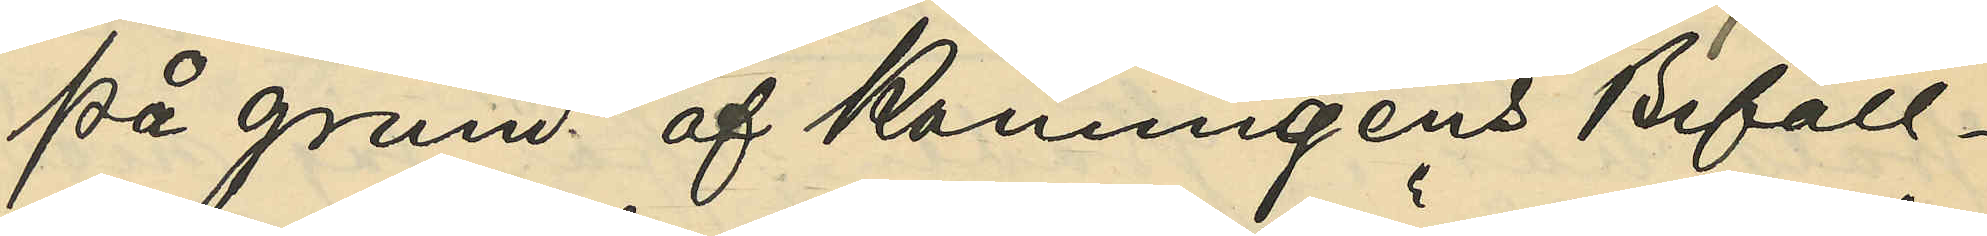På grund af Konungens Befall¬
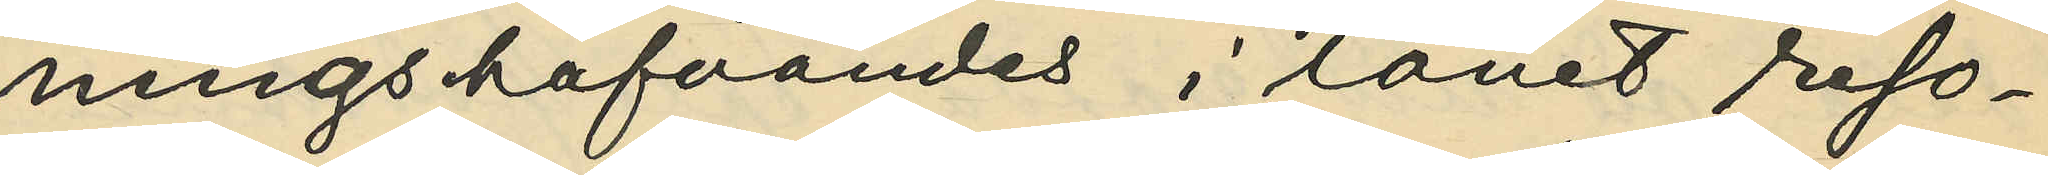ningshafvandes i länet reso¬
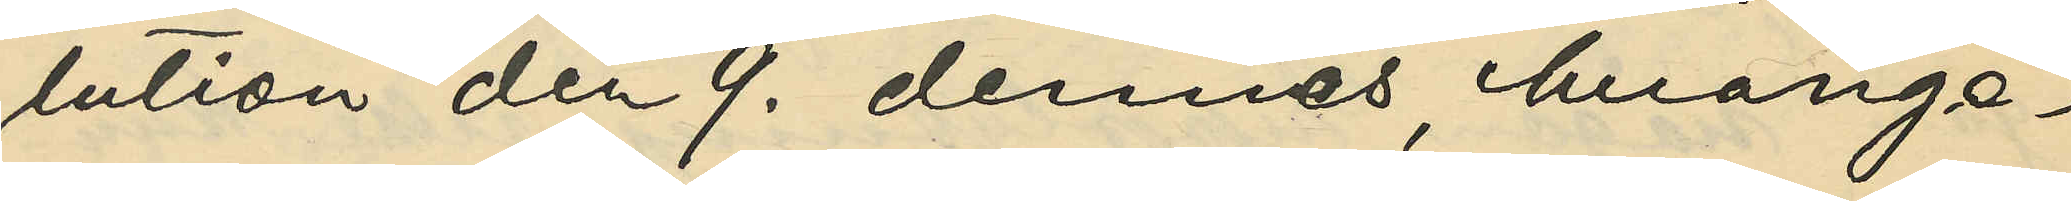lution den 9. dennes, hvarige¬
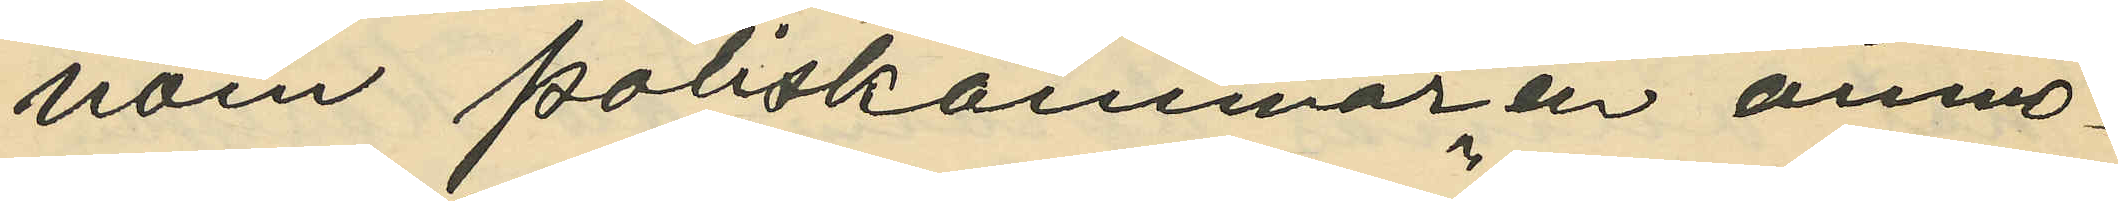nom Poliskammaren anmo¬
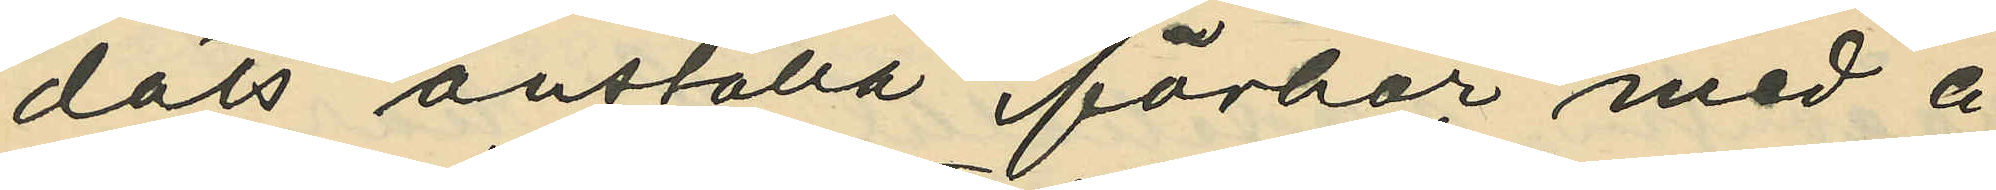dats anställa förhör med å
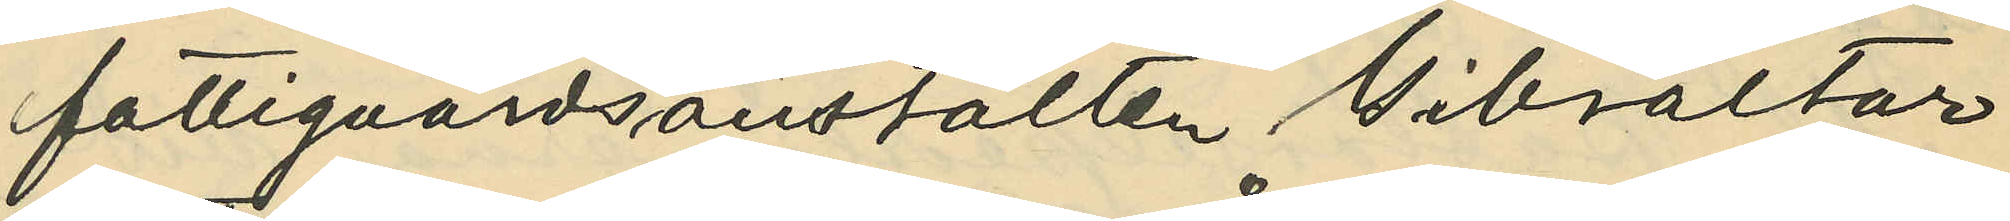fattigvårdsanstalten Gibraltar
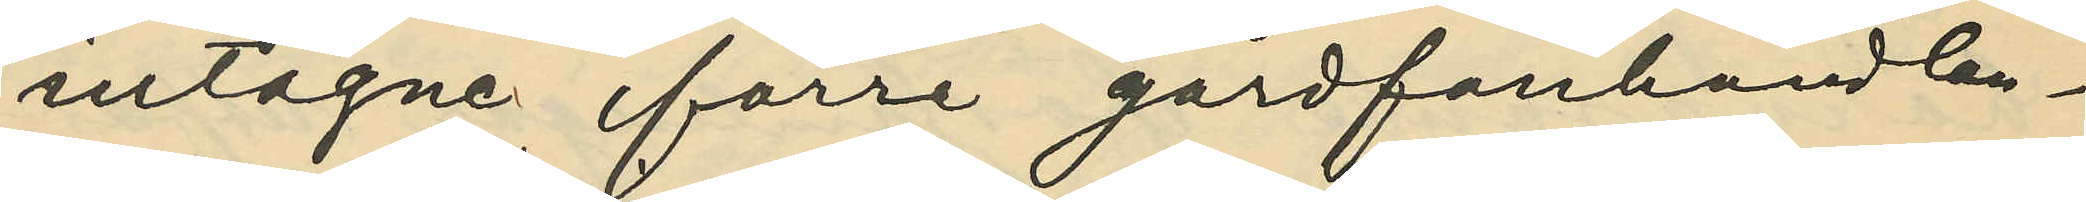intagen förre gårdfarihandlan¬
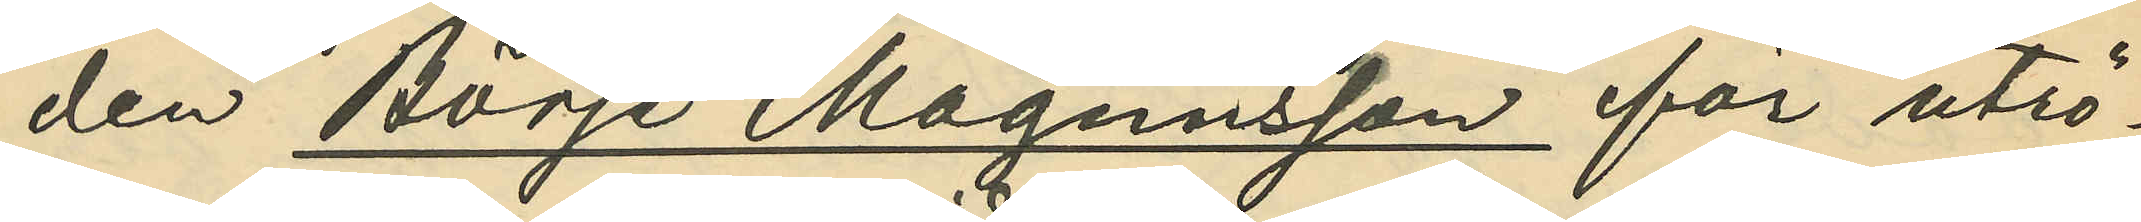den Börje Magnusson för utrö¬
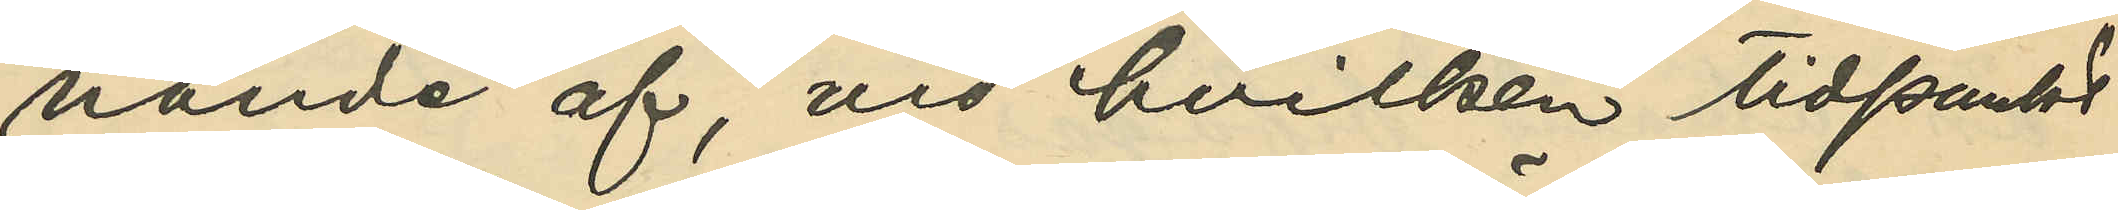nande af, vid hvilken tidpunkt
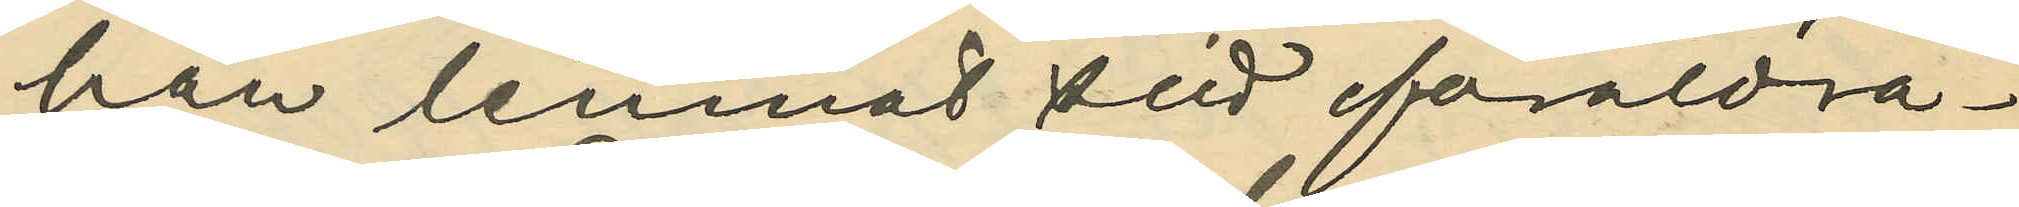han lemnat sitt föräldra¬
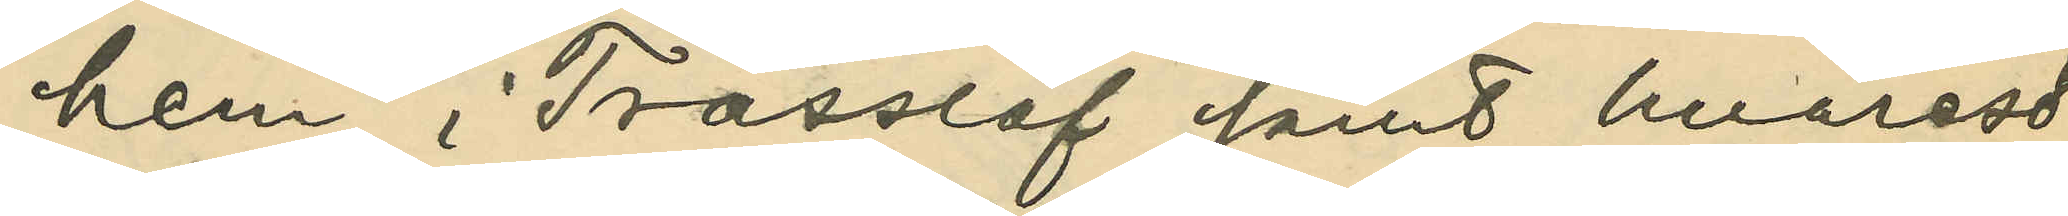hem i Trässlöf samt hvarest
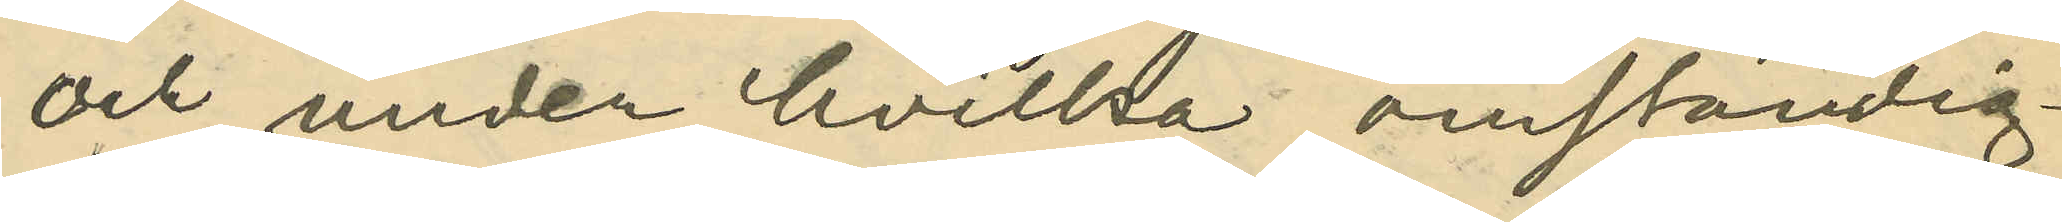och under hvilka omständig¬
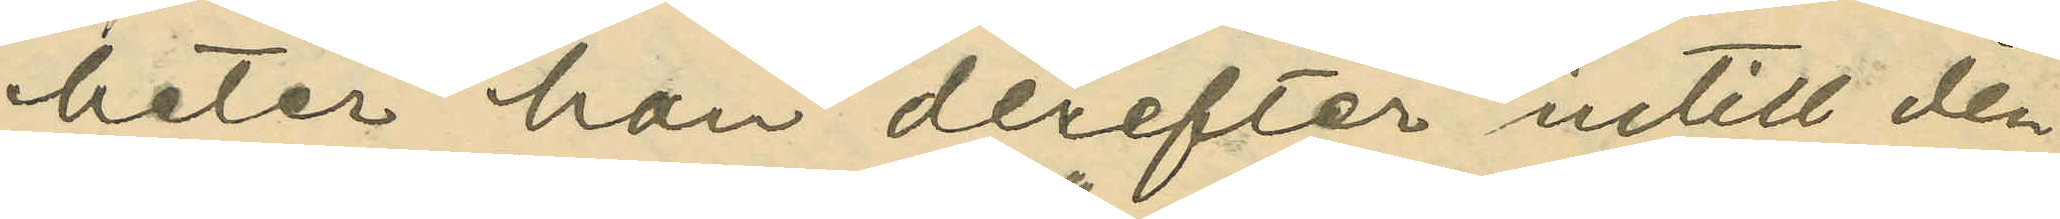heter han derefter intill den
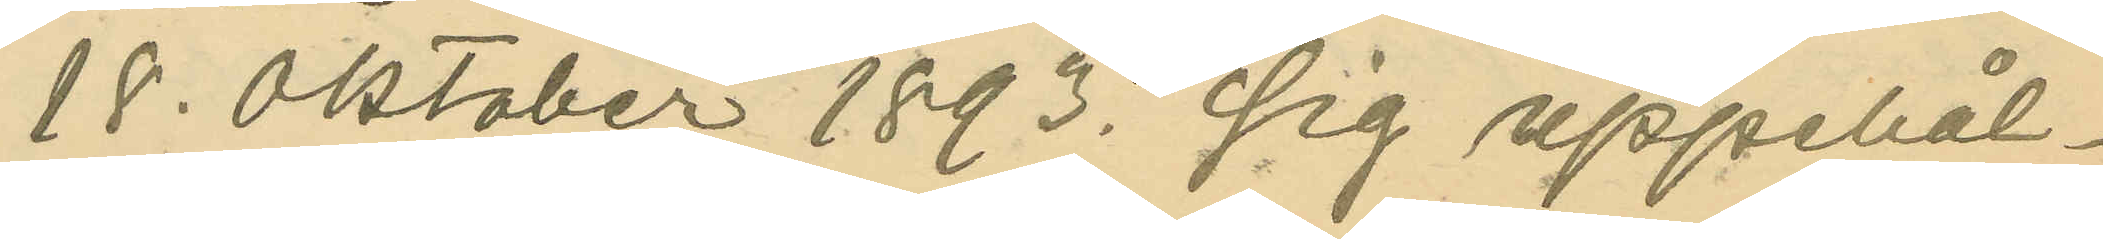18. Oktober 1893. sig uppehål¬
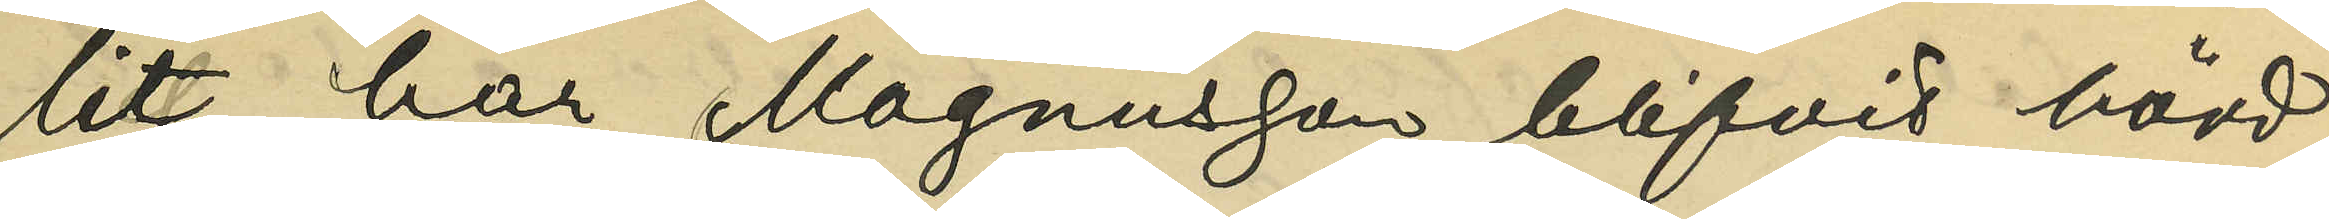lit, har Magnusson blifvit hörd,
